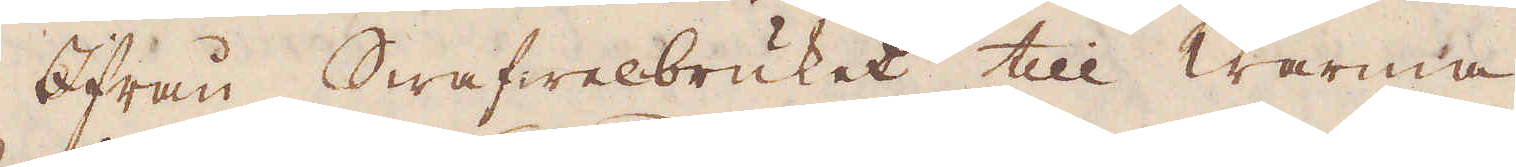Ifrån Swafwelbruket till warma
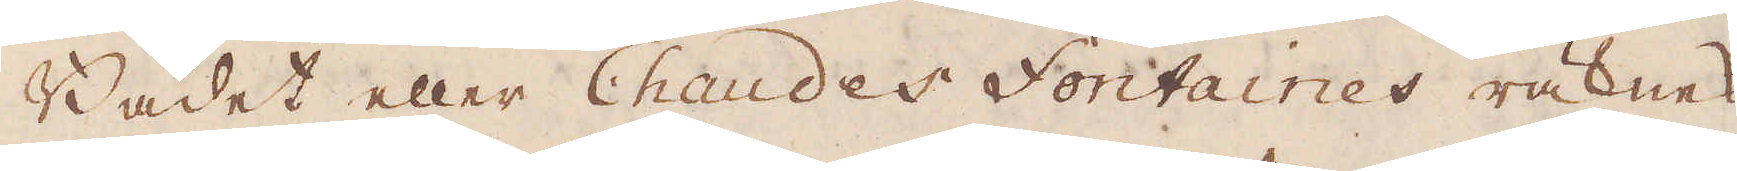Badet eller Chaudes Fontaines räknas
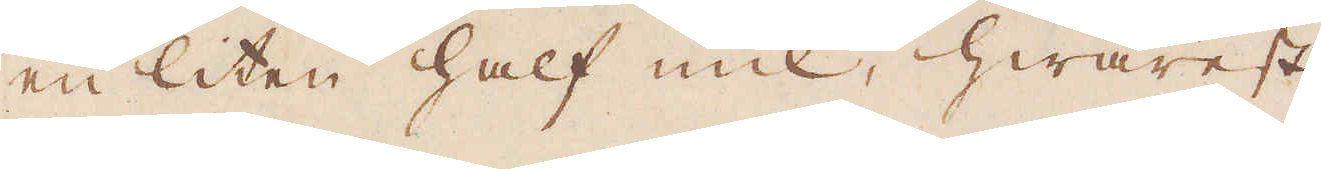en liten half mill, hwarest
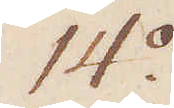14:o
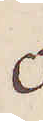o
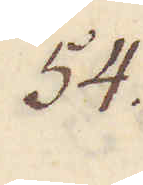54.
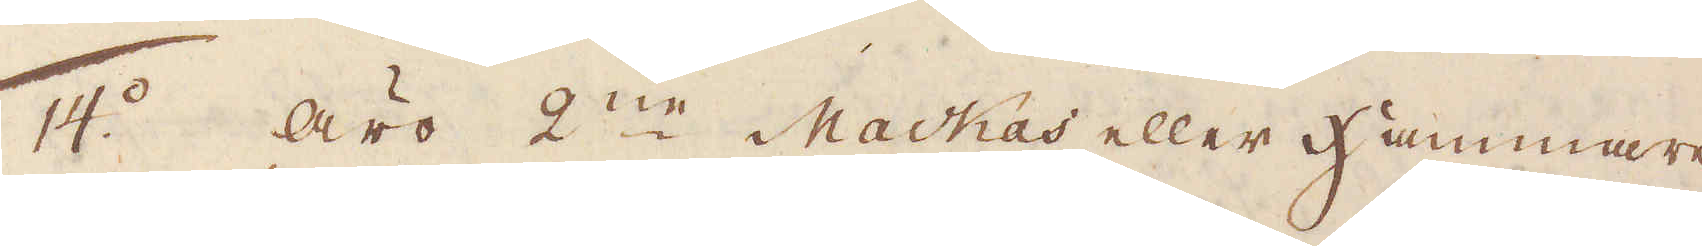14:o äro 2:ne Mackas eller Hammare
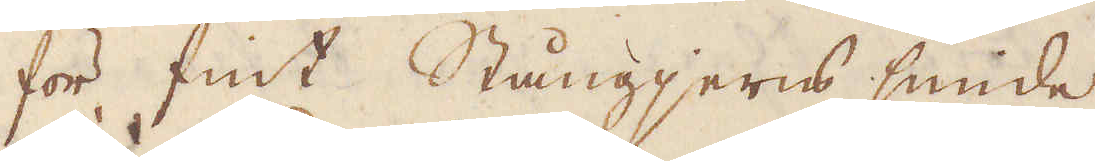för fint Stångjerns smide
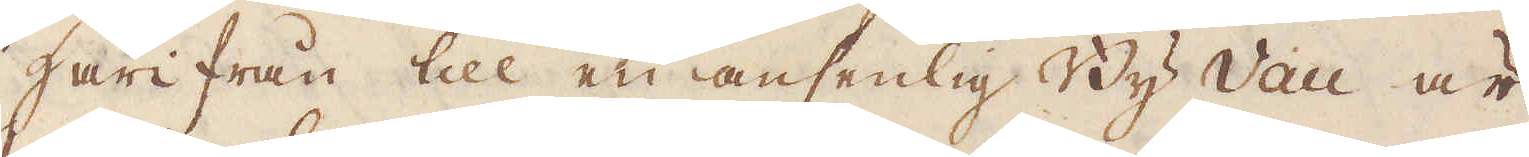härifrån till en ansenlig By Vau är
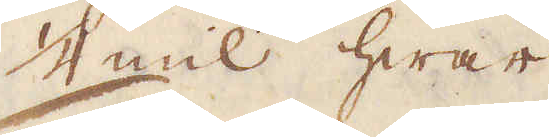1/4 mil hwar
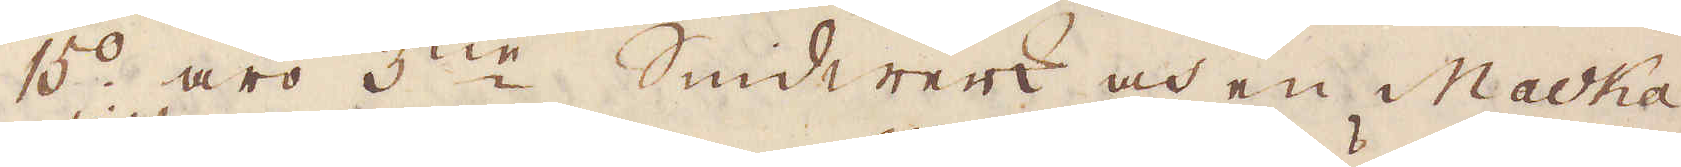15:o äro 3:ne Smidwerk och en Macka
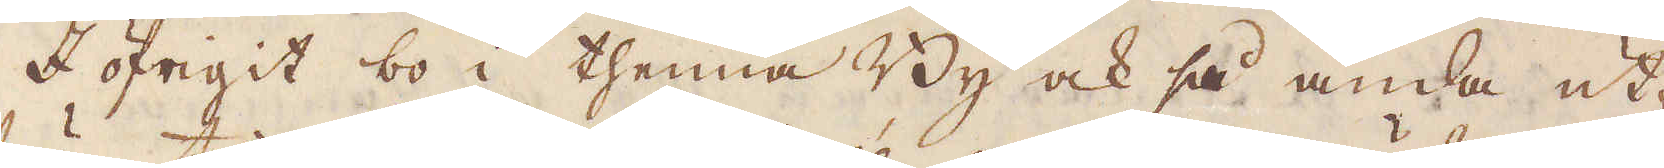I öfrigit bo i thenna By ock så ända ut-
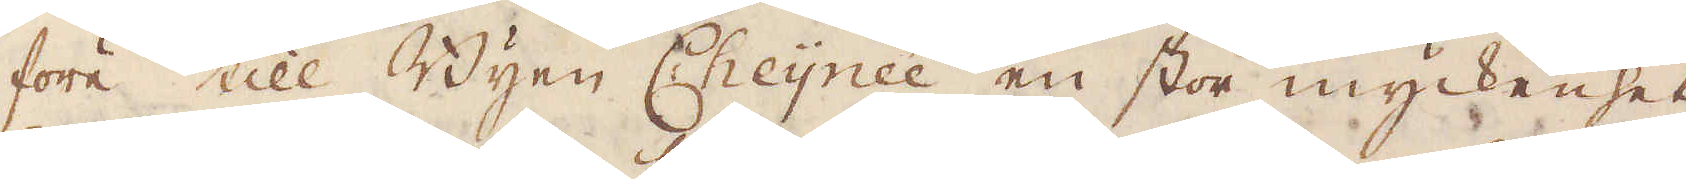före till Byen Cheynée en stor myckenhet
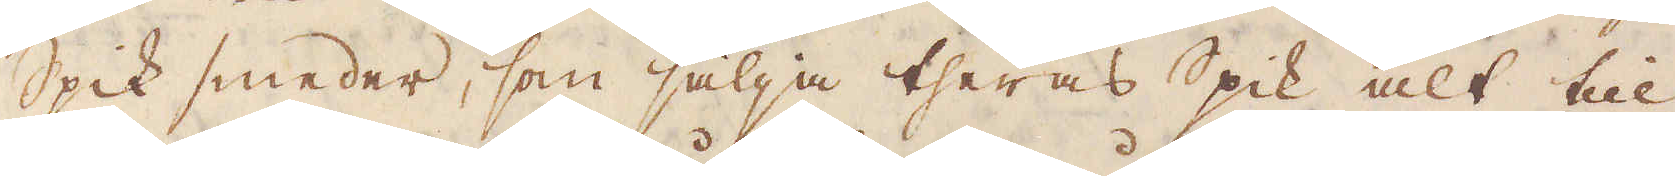Spik smeder, som sälja theras Spik alt till
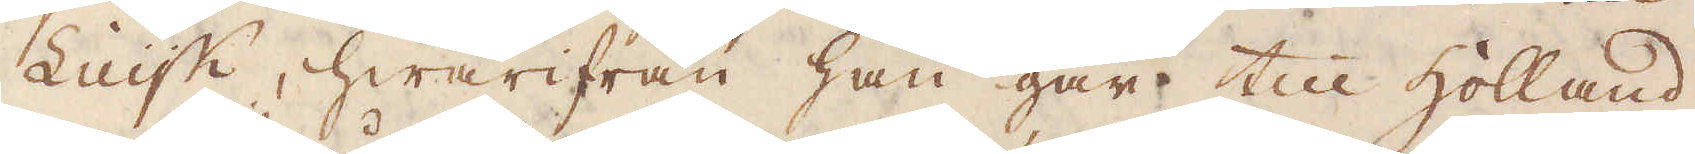Luijk, hwarifrån han går till Holland.
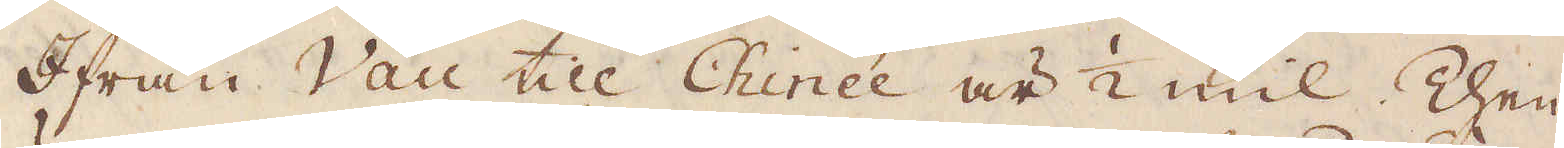Ifrån Vau till Chinde är 1/2 mil. Then-
